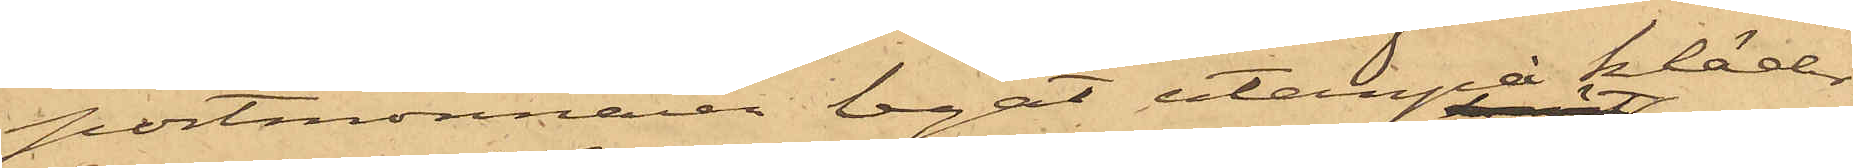portmonnaien legat utanpå kläder¬
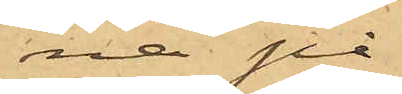na på
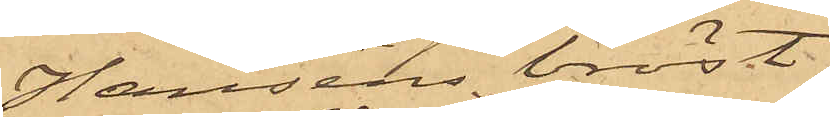Hansens bröst;
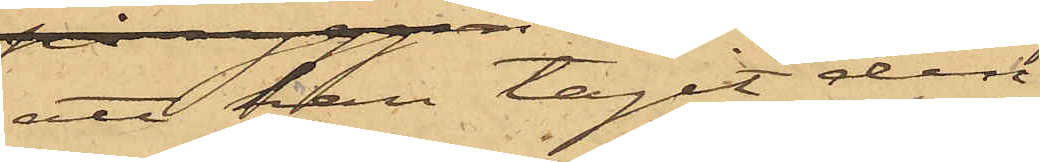att han tagit den
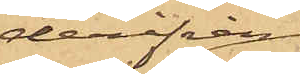derifrån
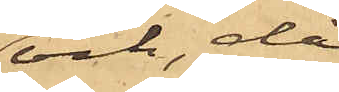och, då
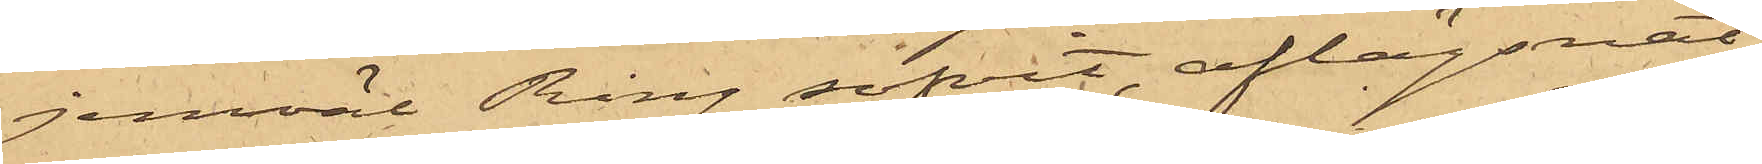jemväl Ring sofvit, aflägsnat
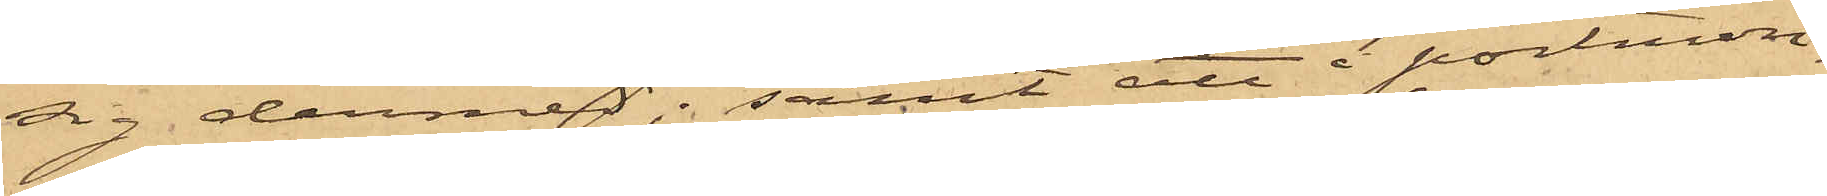sig dermed; samt att i portmon¬
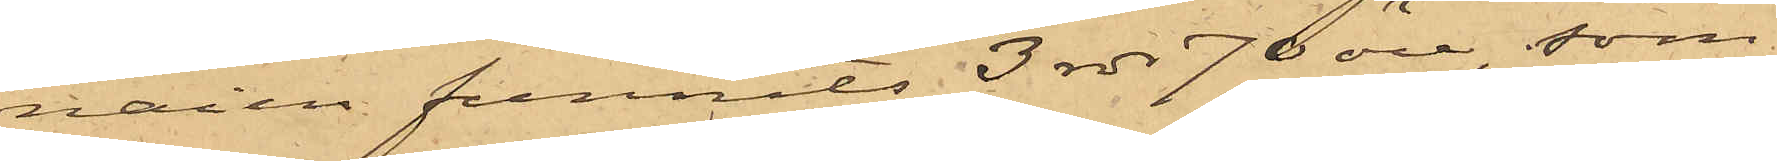naien funnits 3 rdr 70 öre, som
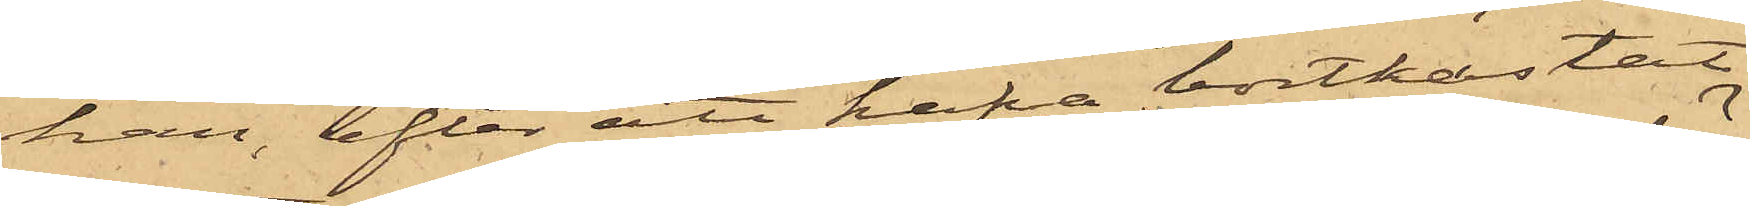han, efter att hafva bortkastat
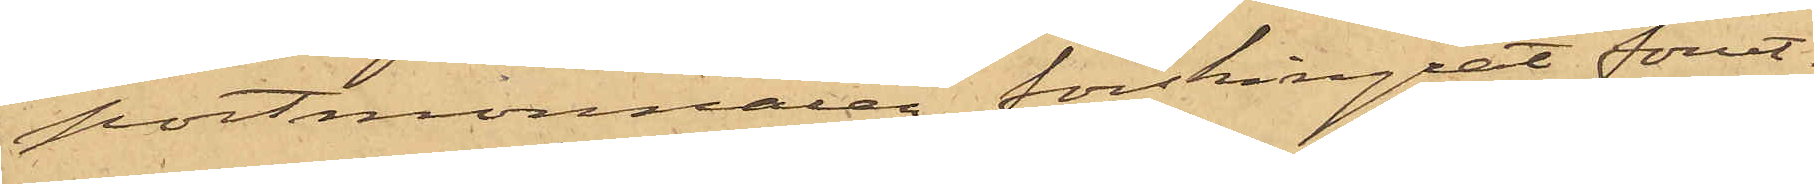portmonnaien, förskingrat förut¬
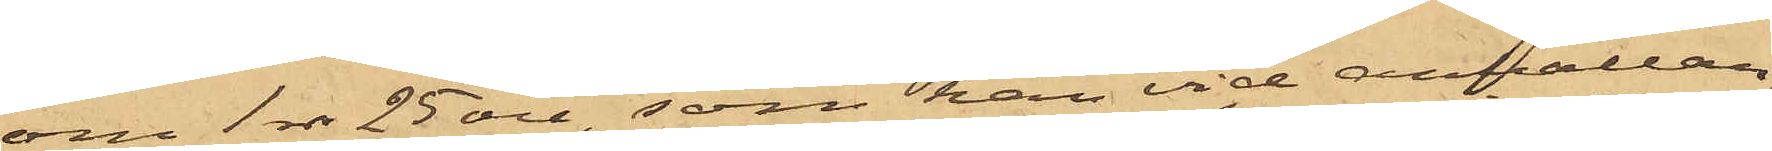om 1 rdr 25 öre, som han vid anhållan¬
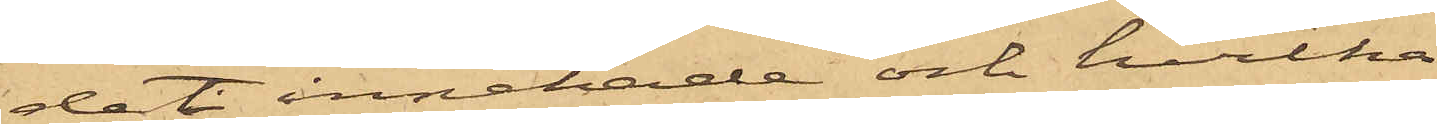det innehade och hvilka
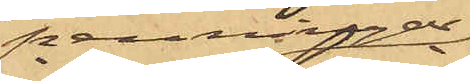penningar
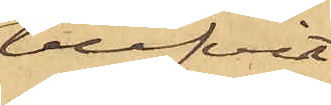blifvit
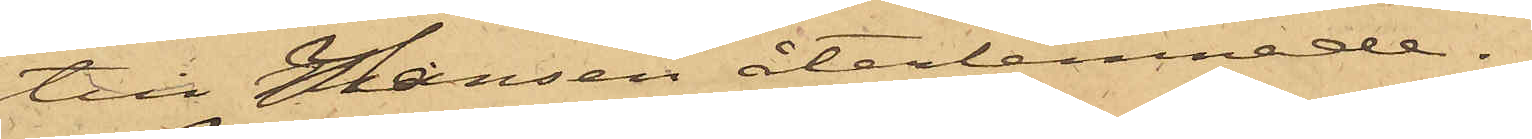till Hansen återlemnade.
